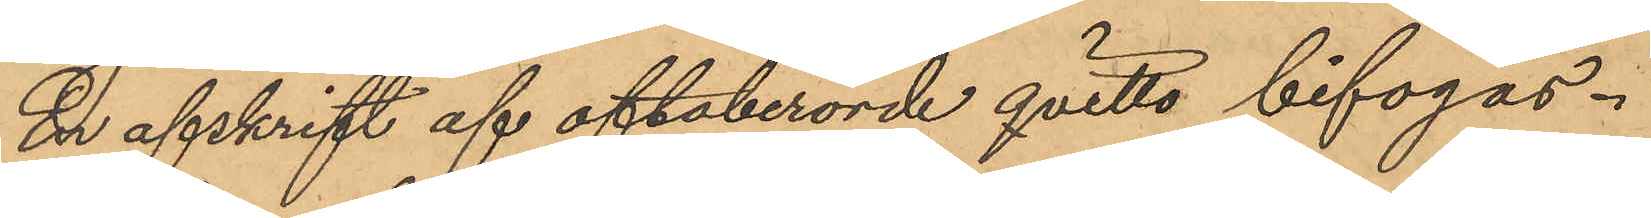En afskrift af oftaberörde qvitto bifogas.
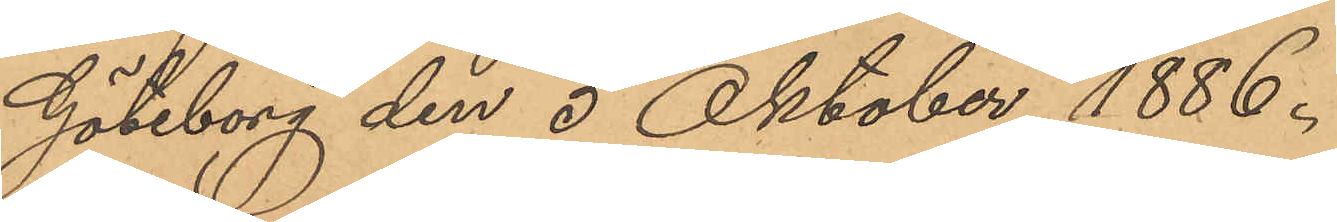Göteborg den 5 Oktober 1886.
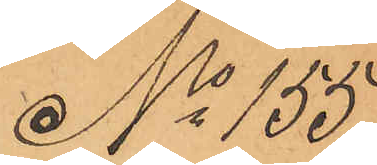No 155
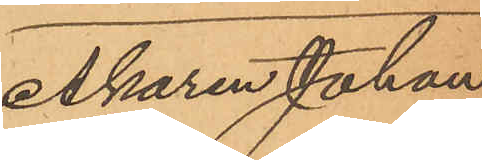Åkaren Johan
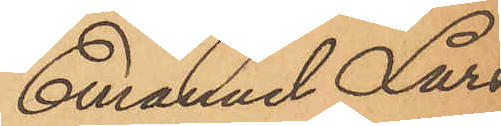Emanuel Lars¬
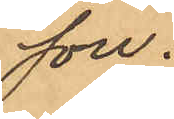son.
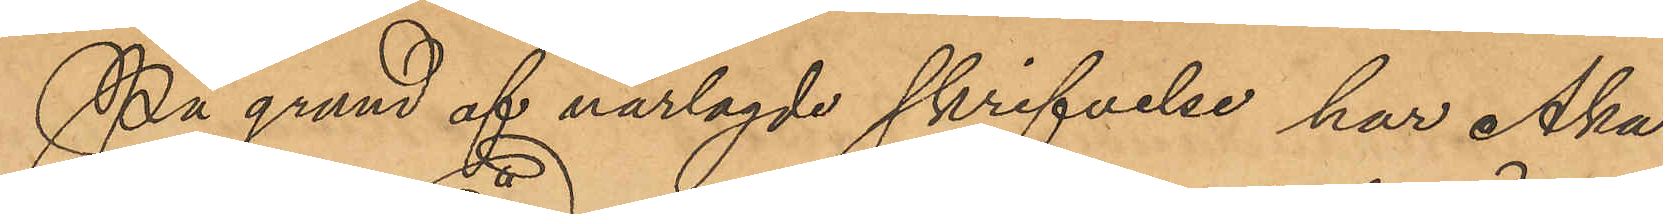På grund af närlagde skrifvelse har Åka¬
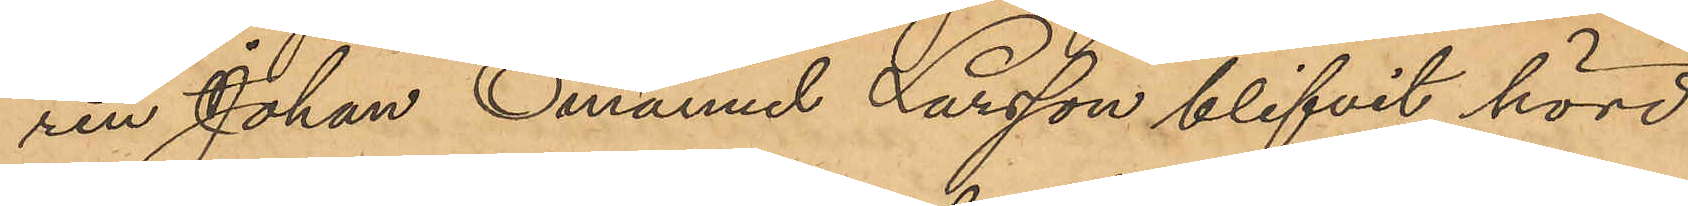ren Johan Emanuel Larsson blifvit hörd,
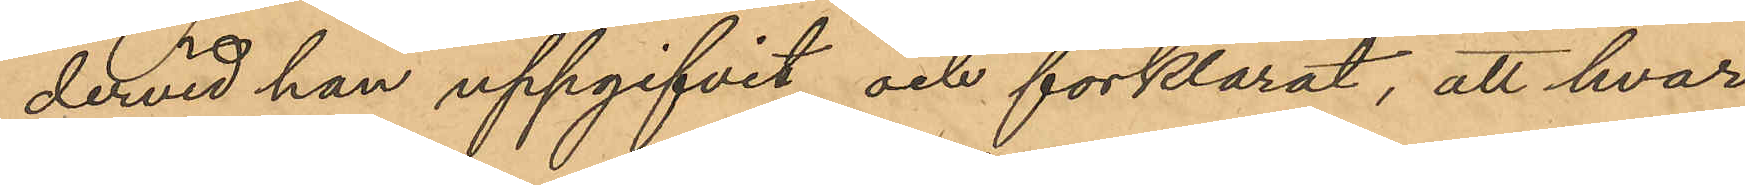dervid han uppgifvit och förklarat, att hvar¬
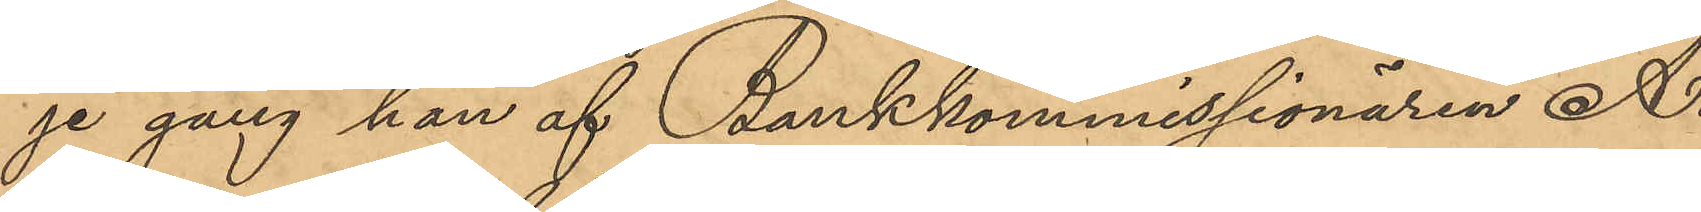je gång han af Bankkommissionären A.
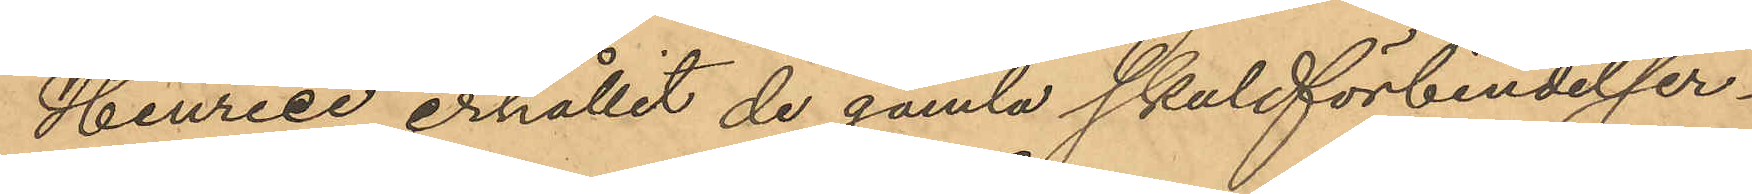Henrici erhållit de gamla skuldförbindelser¬
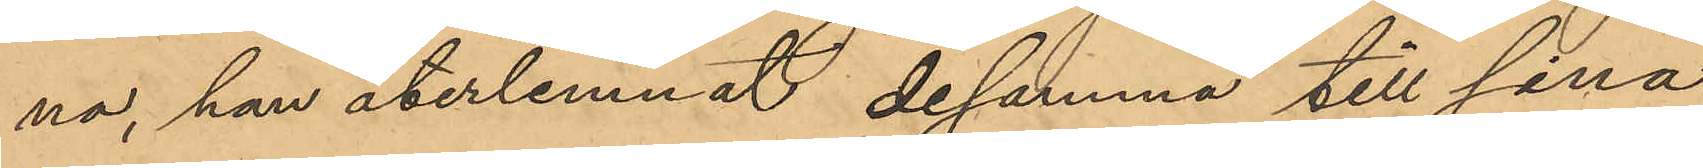na, han återlemnat desamma till sina
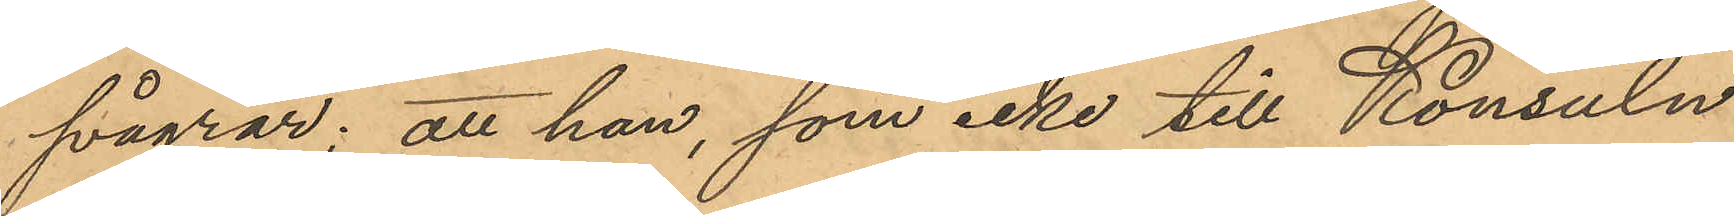svågrar; att han, som icke till Konsuln
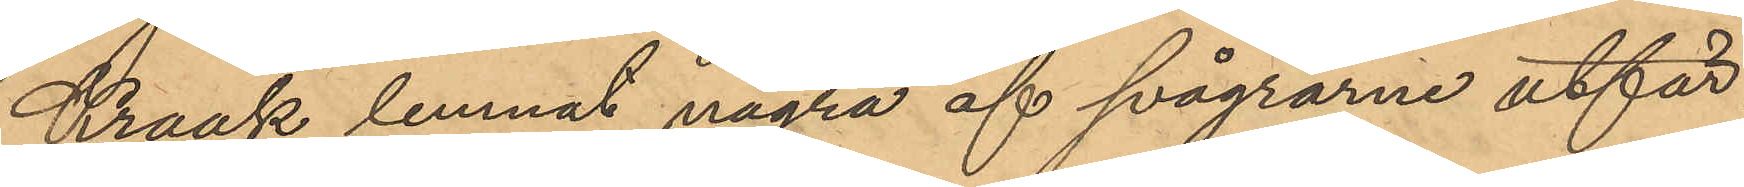Kraak lemnat några af svågrarne utfär¬
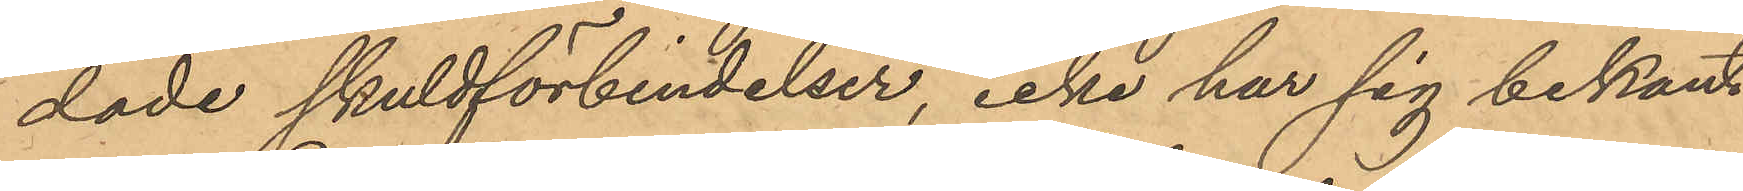dade skuldförbindelser, icke har sig bekant
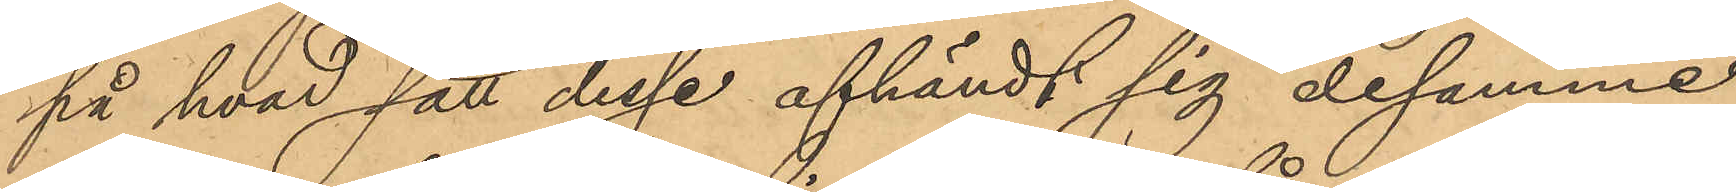på hvad sätt desse afhändt sig desamme;
